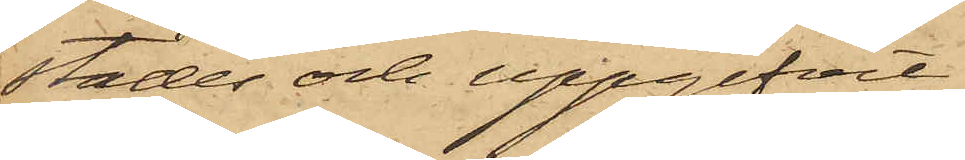städes och uppgifvit
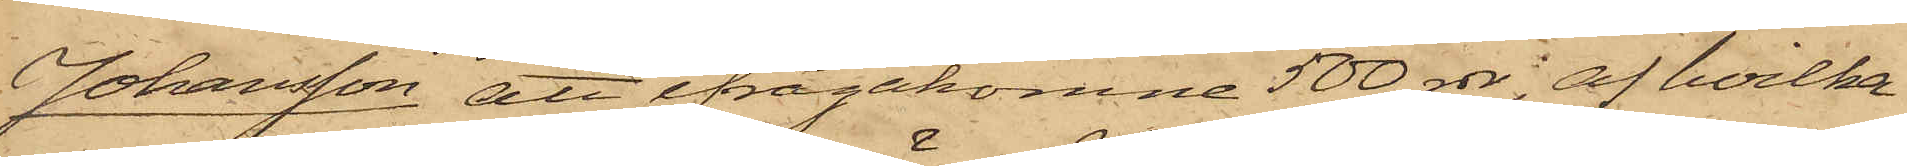Johansson att ifrågakomne 500 rdr, af hvilka
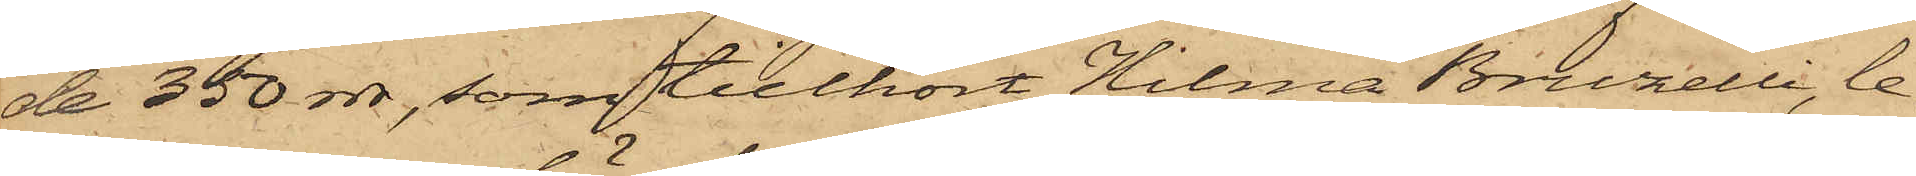de 350 rdr, som tillhört Hilma Bruzelli, le¬
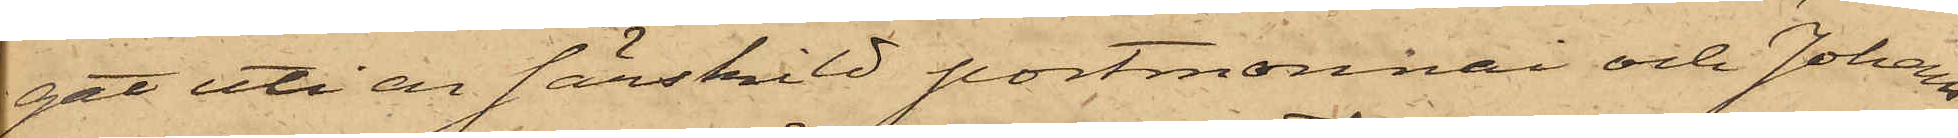gat uti en särskild portmonnai och Johans¬
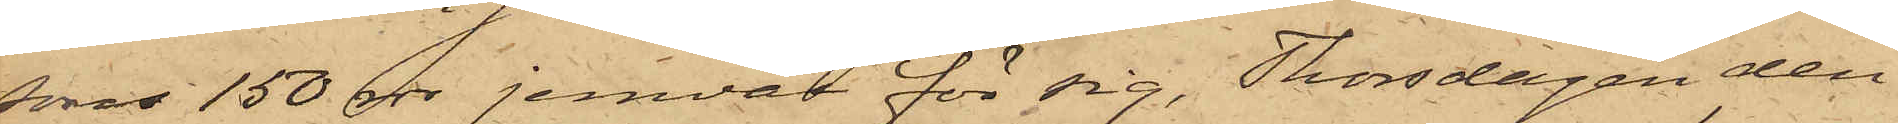sons 150 rdr jemväl för sig, Thorsdagen den
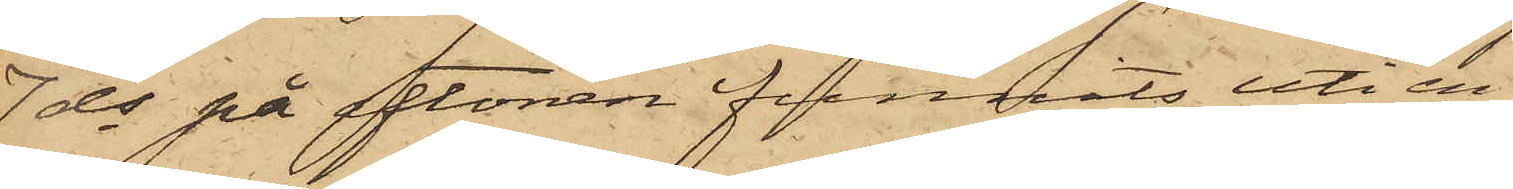7 ds på aftonen funnits uti en
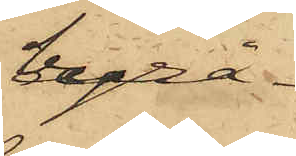byrå¬
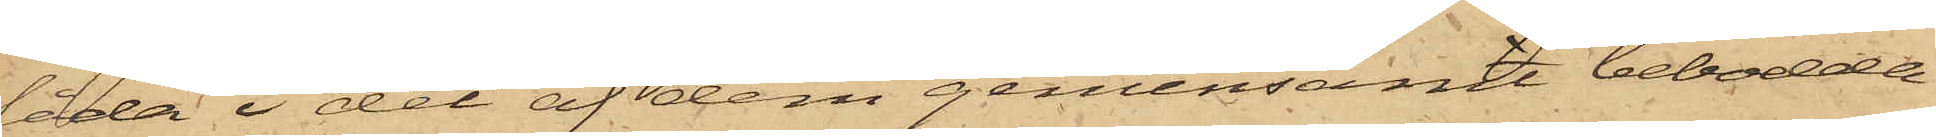låda i det af dem gemensamt bebodda
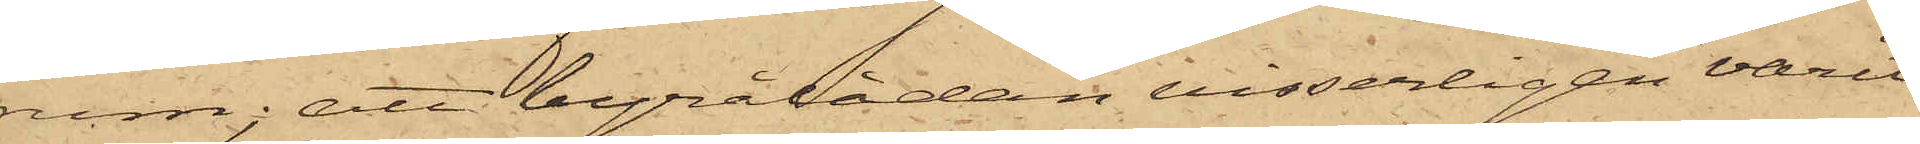rum; att byrålådan visserligen varit
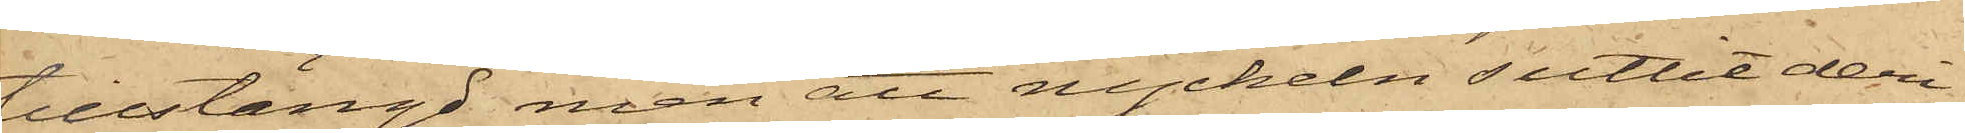tillstängd men att nyckeln suttit deri;
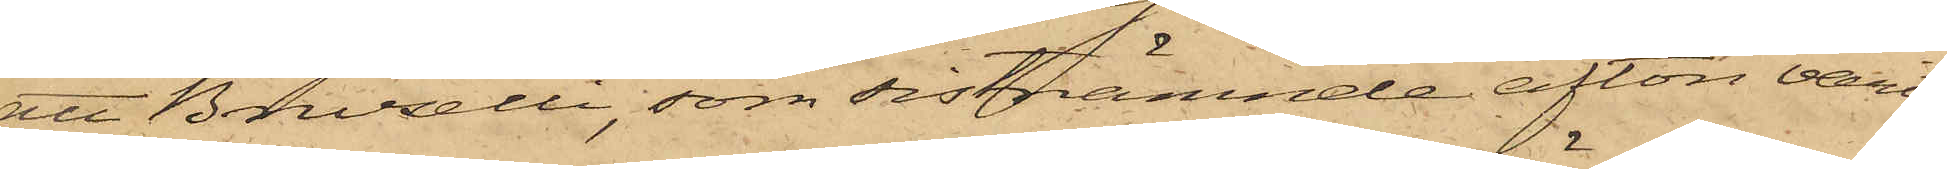att Bruzelli, som sistnämnde afton varit
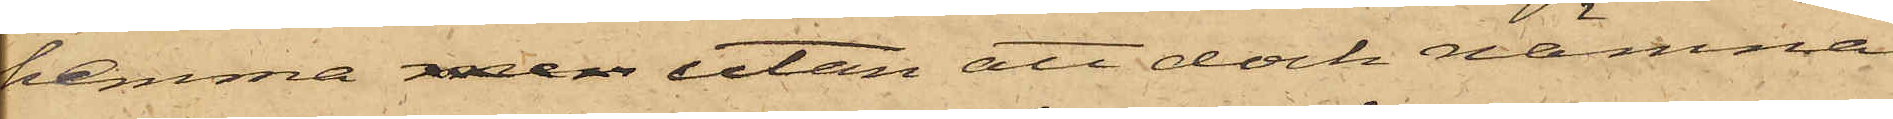hemma, men utan att dock nämna
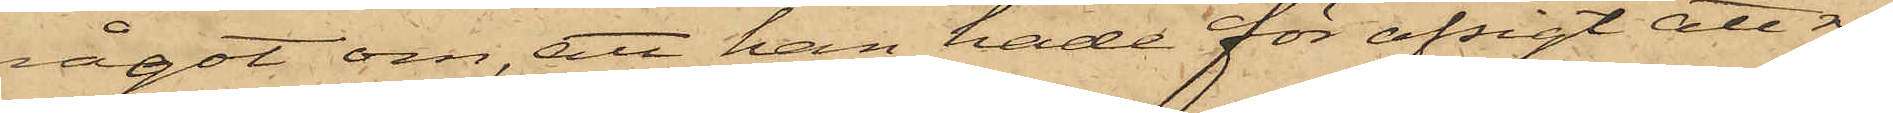något om, att han hade för afsigt att re¬
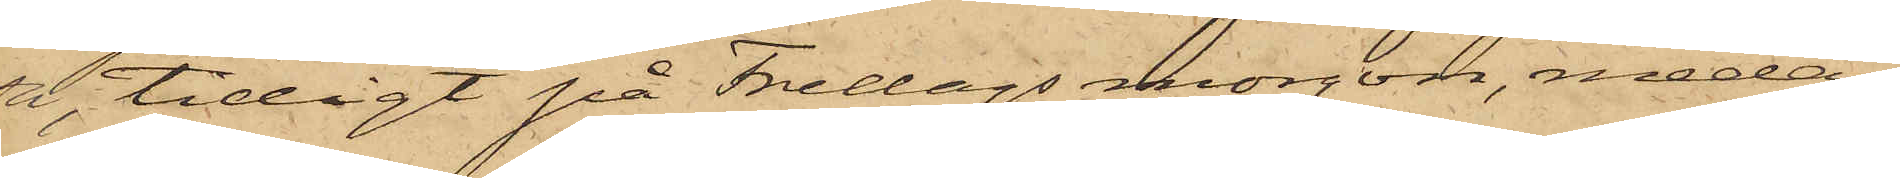sa, tidigt på Fredags morgon, medan
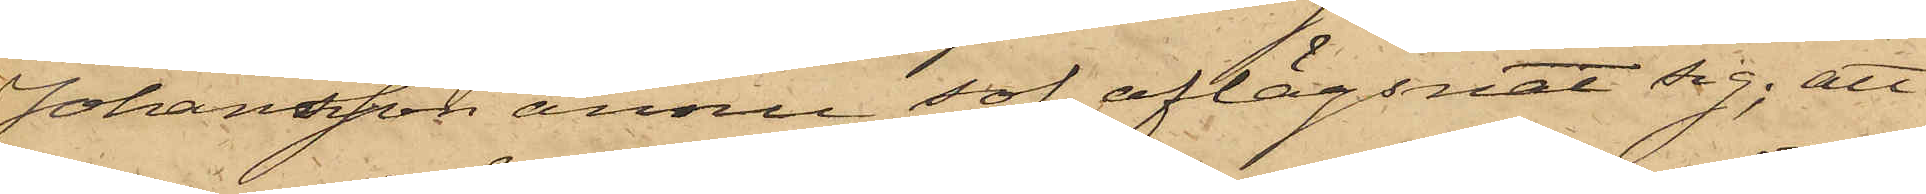Johansson ännu sof, aflägsnat sig; att
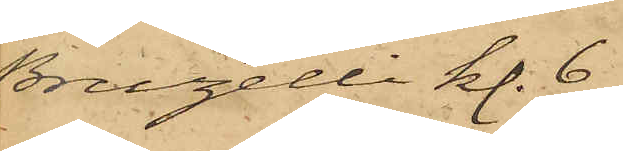Bruzelli kl. 6
